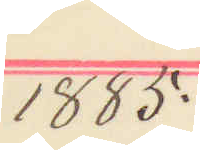1885.
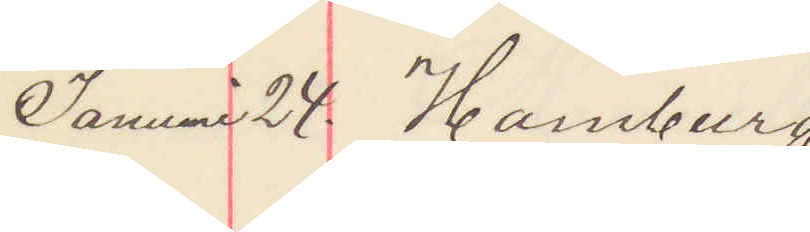Januari 24. Hamburg
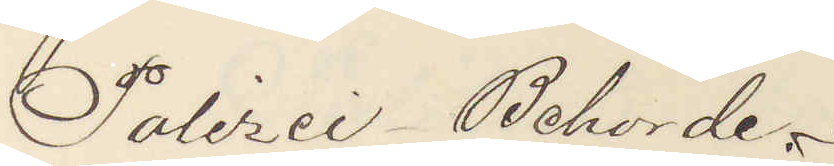Polizei Behörde.
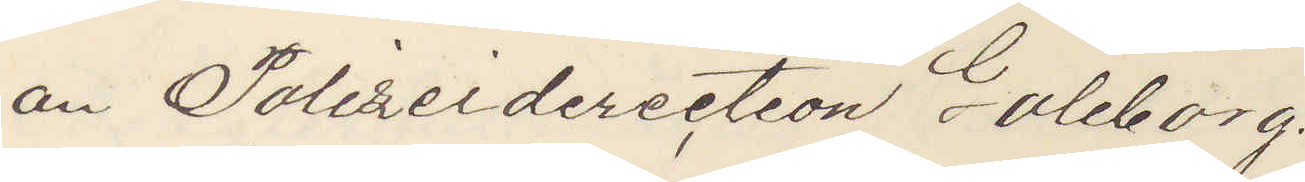an Polizeidirection Göteborg.
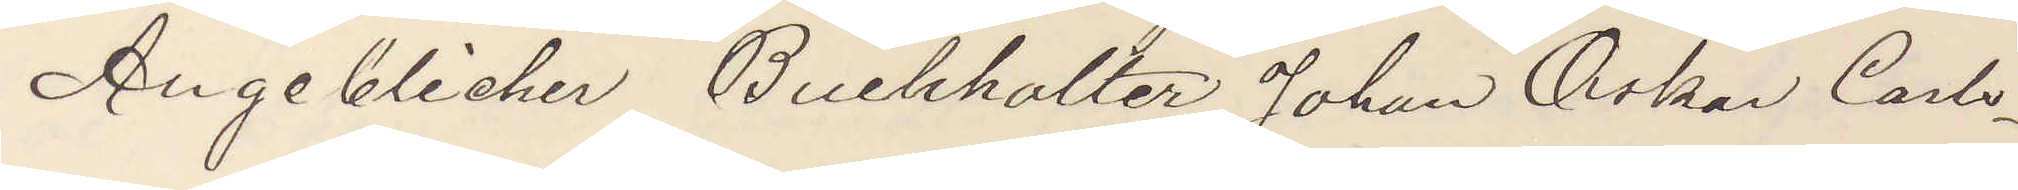Angeblicher Buchhalter Johan Oskar Carls¬
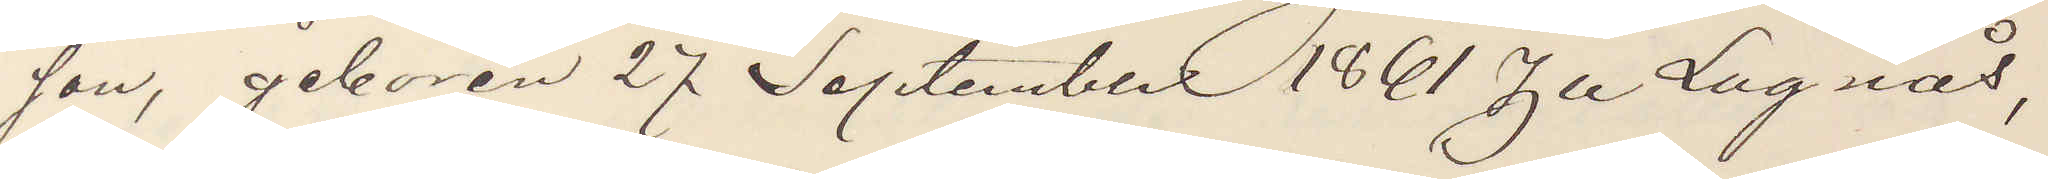son, geboren 27 September 1861 Zu Lugnås,
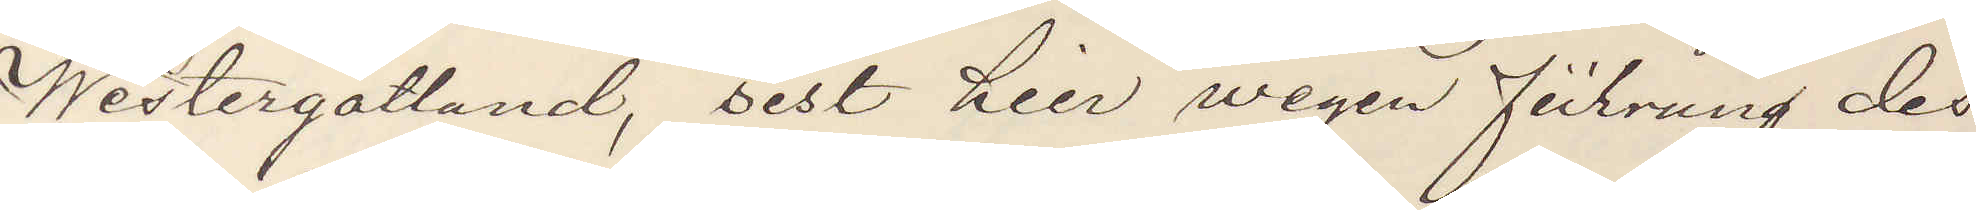Westergötland, bist hier wegen fürung des
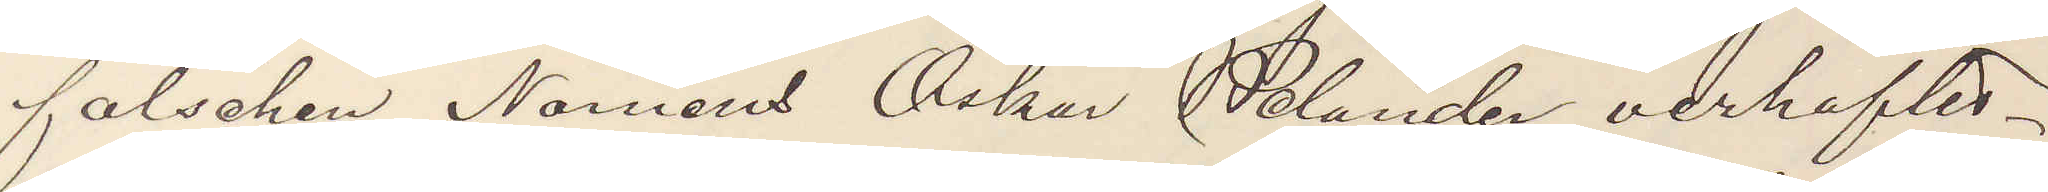falschen Namens Oskar Welander verhaftes.
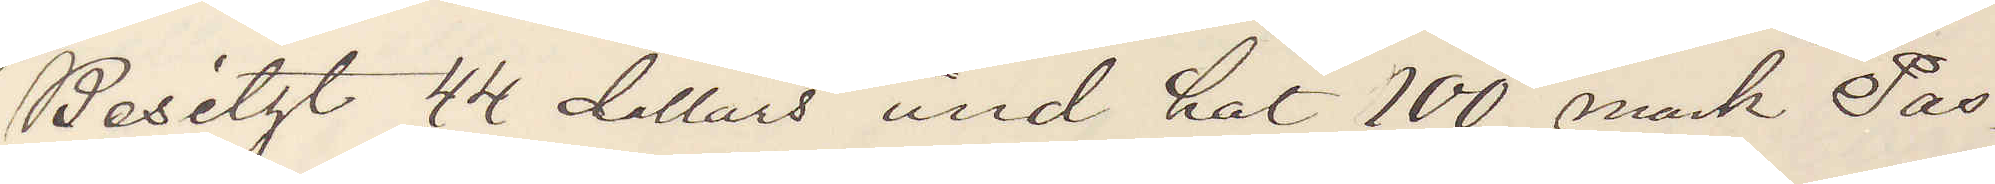Besitzt 44 dollars ünd hat 100 mark Pas¬
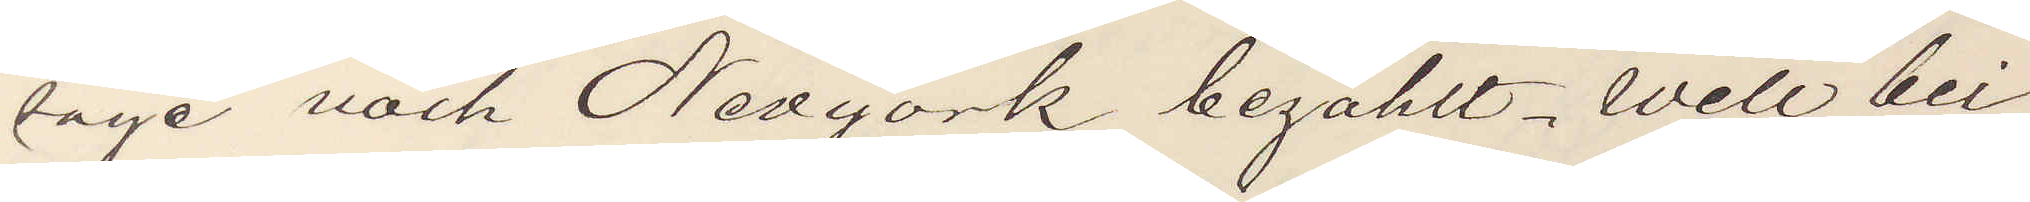sage nach Newyork bezahlt. Will bei
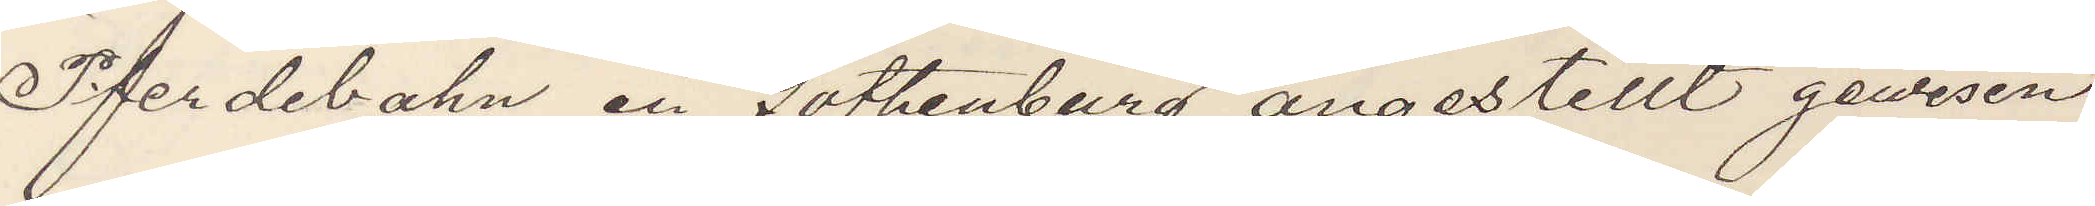Pferdebahn in Gothenburg angestellt gewesen
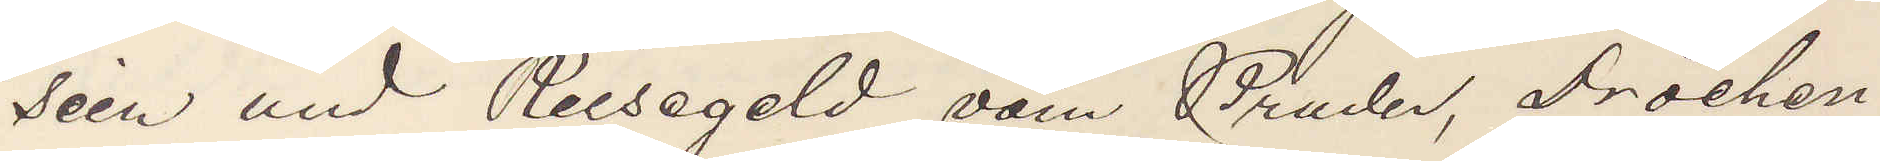sein und Reisegeld vom Bruder, Drochen¬
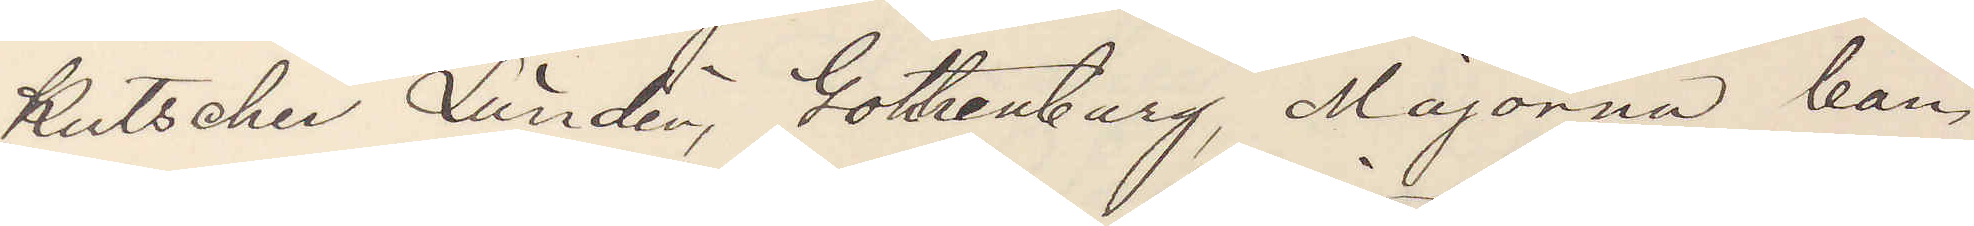Kutscher Lünden, Gothenburg, Majorna ban¬
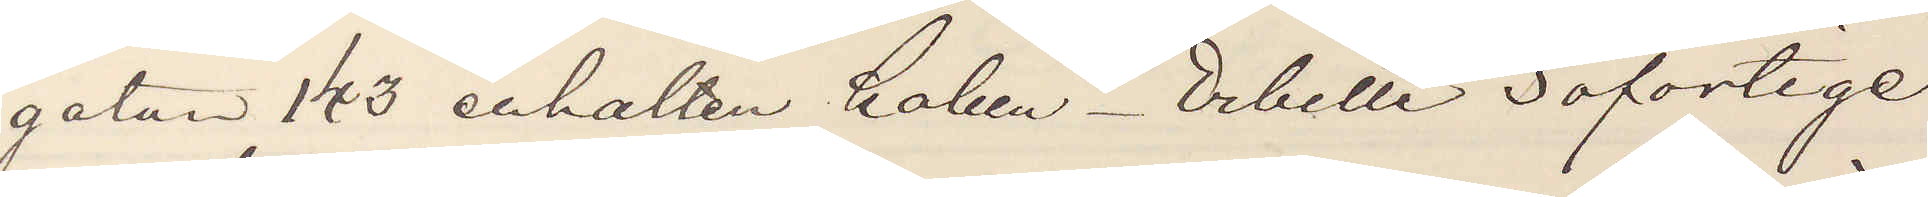gatan 143 erhalten haben. Erbitte sofortige
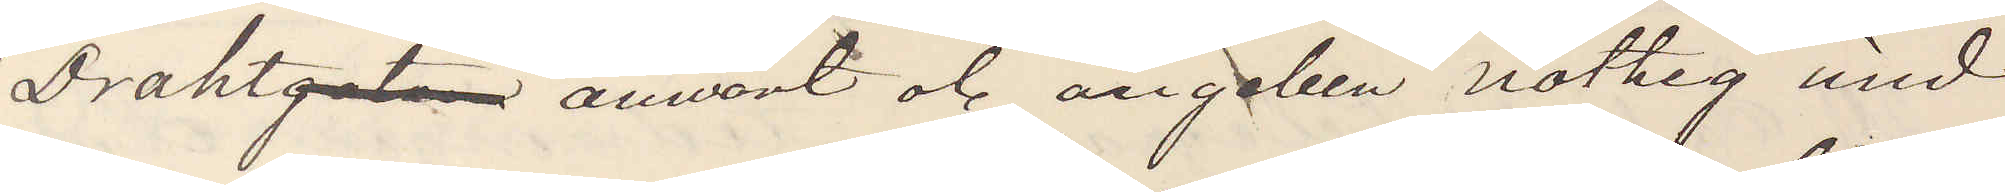Drahtgeten anwort et angeben nothig und¬
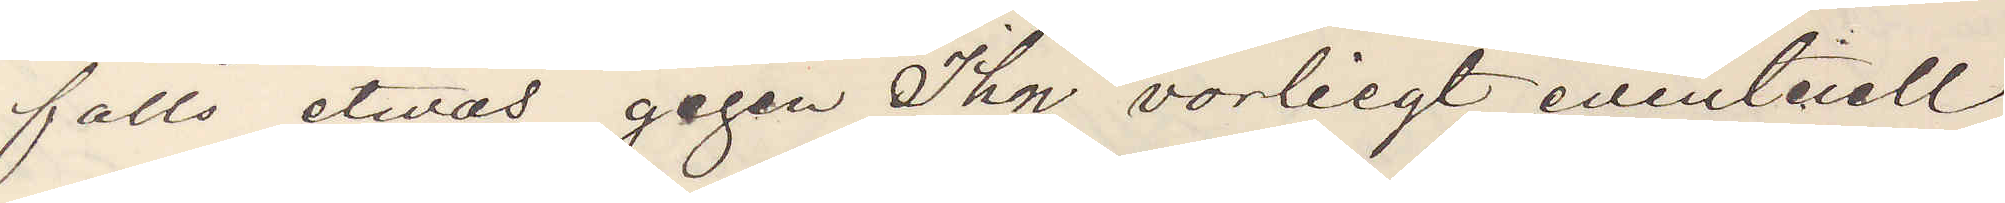falls etwas gegen Ihn vorliegt eventeriell
